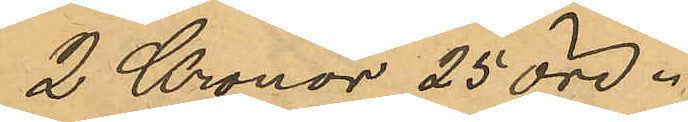2 Kronor 25 öre.
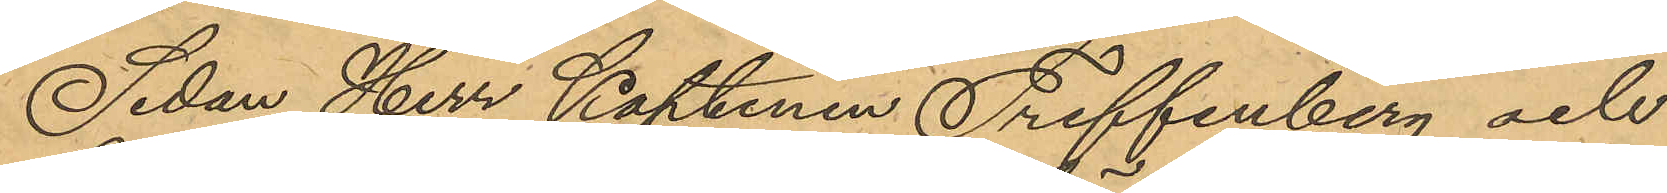Sedan Herr Kaptenen Treffenberg och
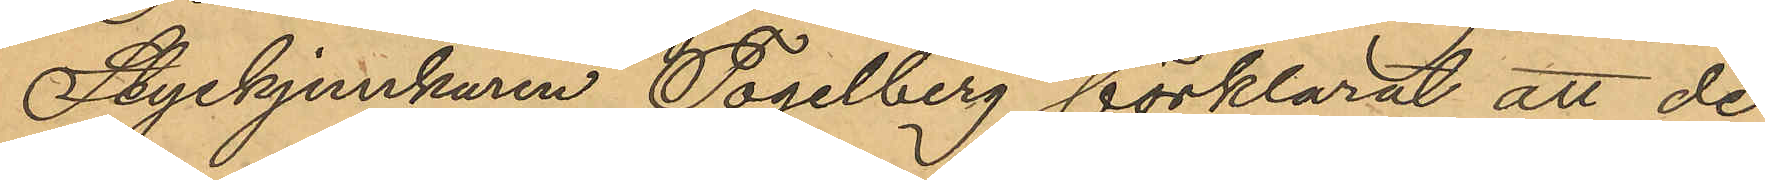Styckjunkaren Fogelberg förklarat att de
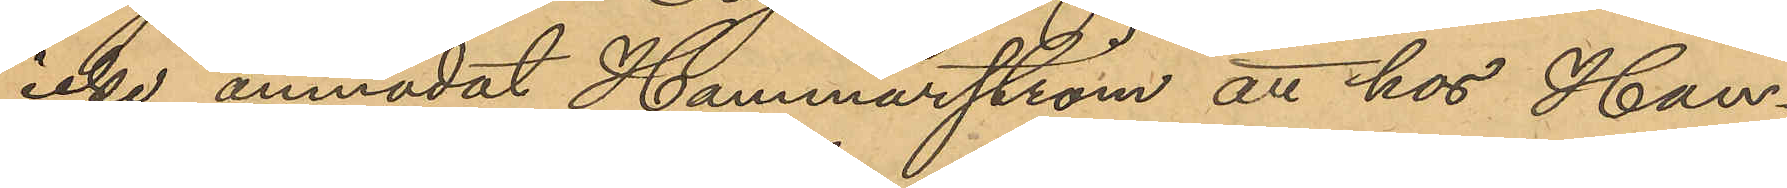icke anmodat Hammarström att hos Han¬
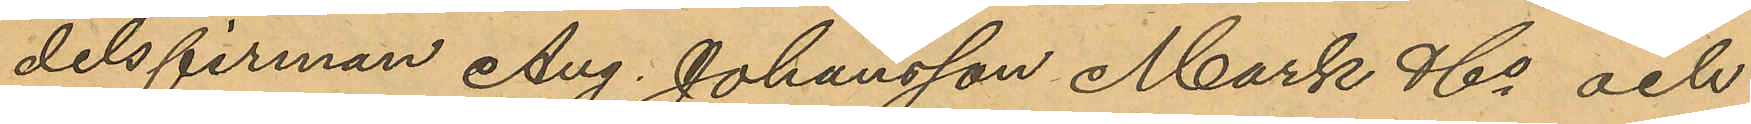delsfirman Aug. Johansson Mark & Co och
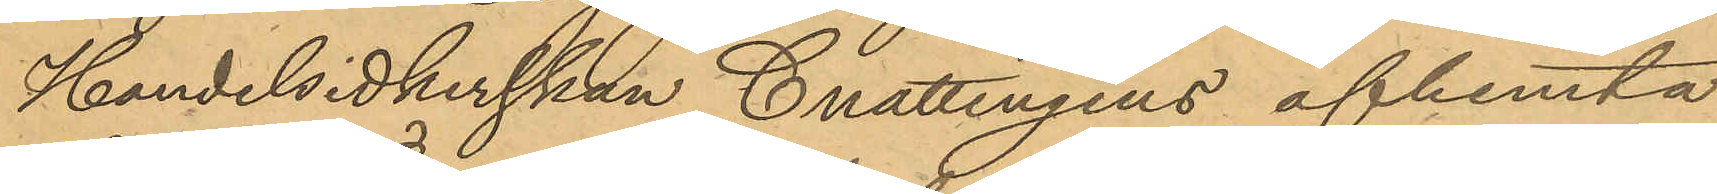Handelsidkerskan Cnattingius afhemta
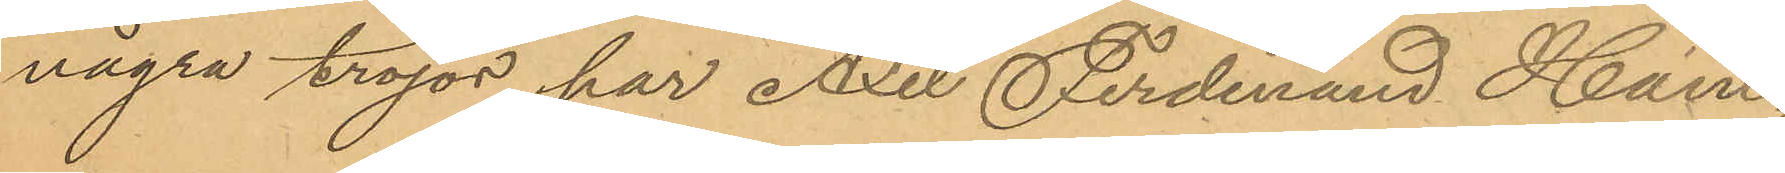några tröjor, har Axel Ferdinand Ham¬
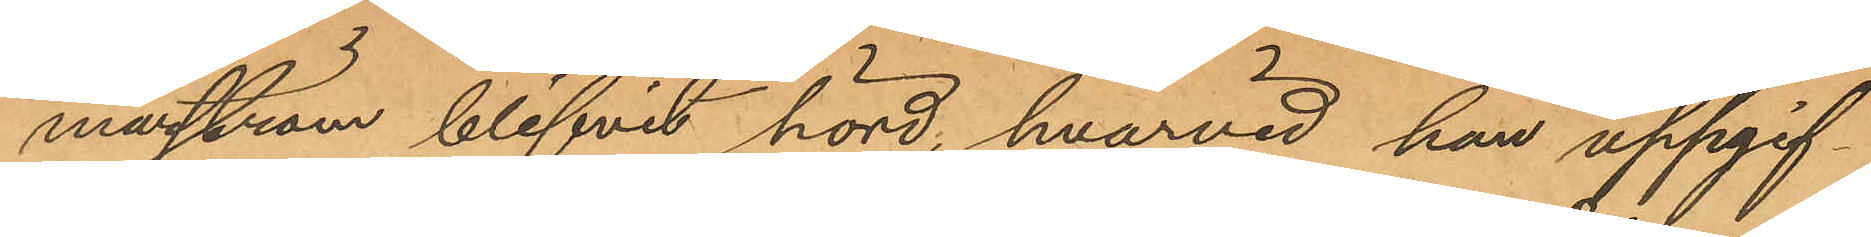marström blifvit hörd, hvarvid han uppgif¬
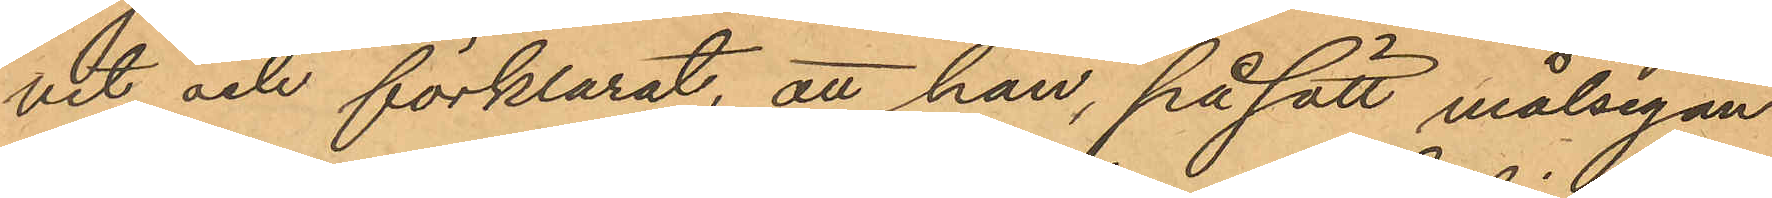vit och förklarat, att han, på sätt målsegan¬
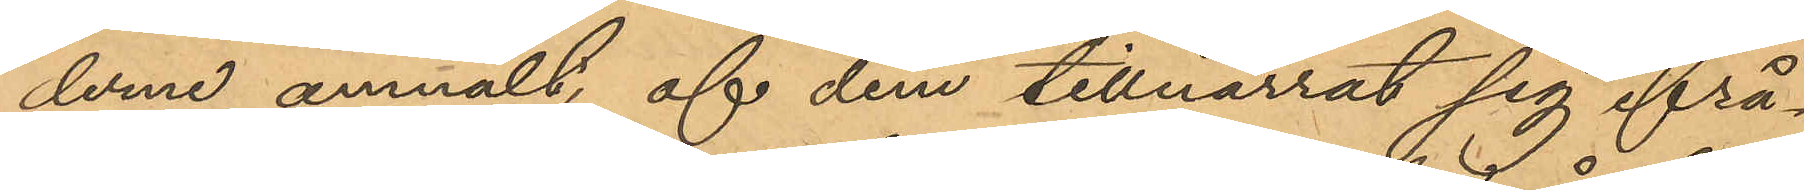derne anmält, af dem tillnarrat sig ifrå¬
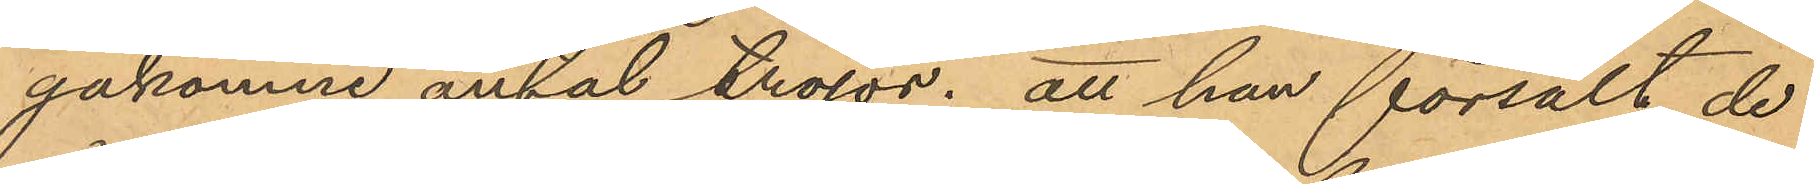gakomne antal tröjor; att han försålt de
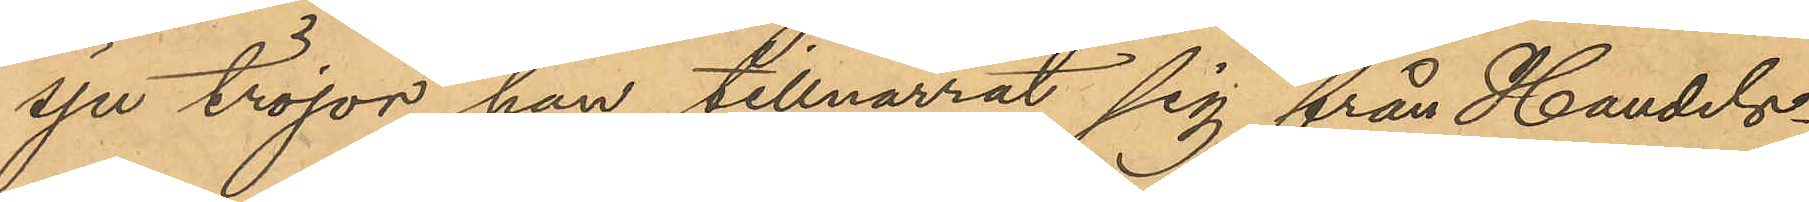sju tröjor han tillnarrat sig från Handels¬
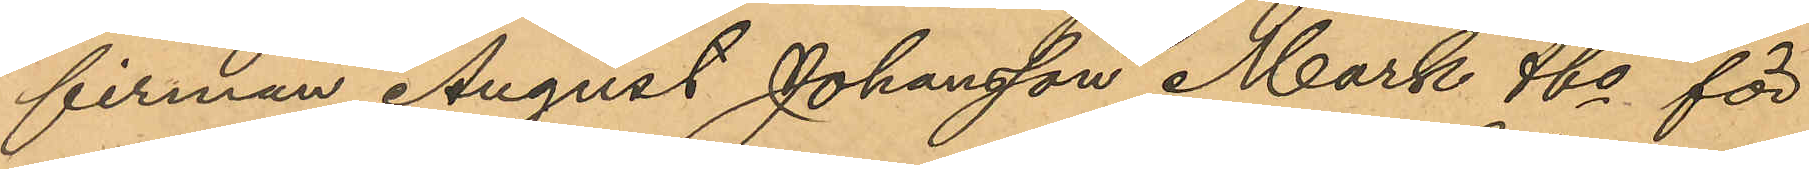firman August Johansson Mark & Co för
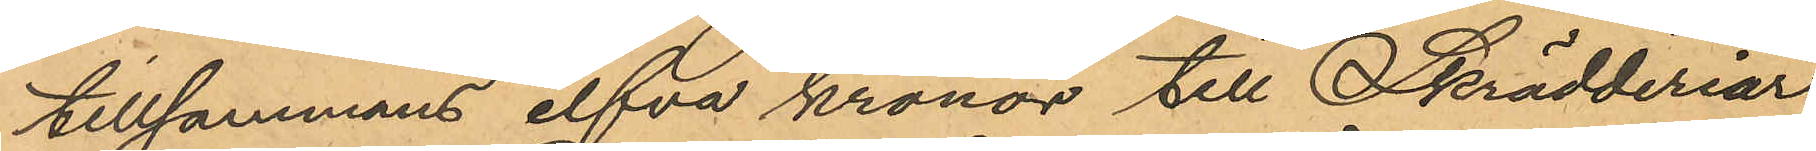tillsammans elfva kronor till Skrädderiar¬
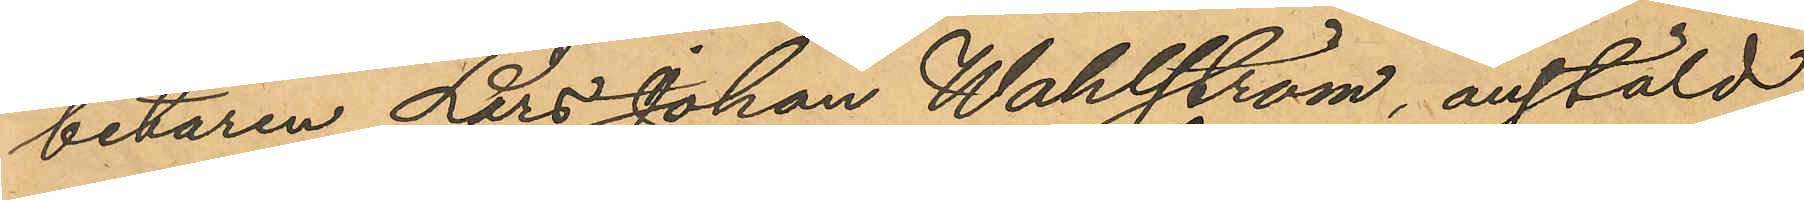betaren Lars Johan Wahlström, anstäld
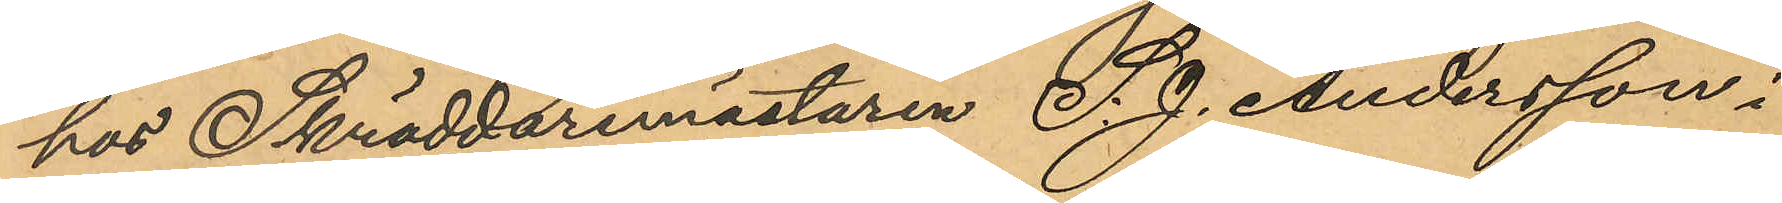hos Skräddaremästaren S. J. Andersson i
